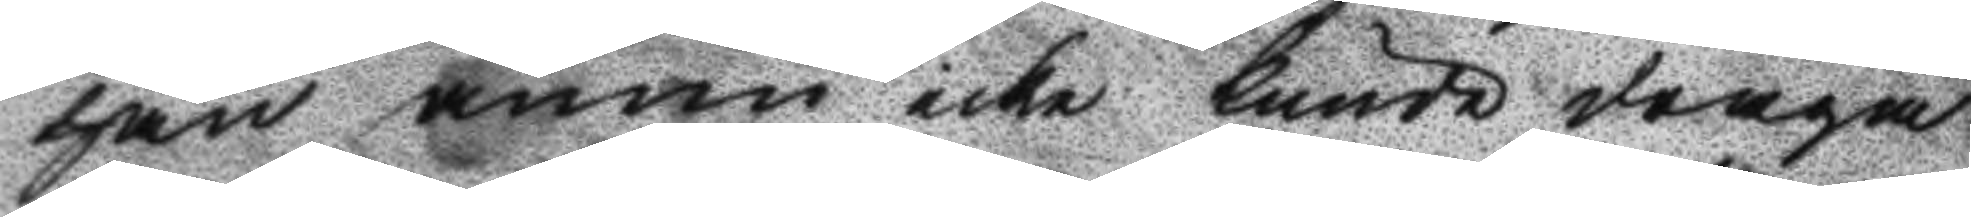han ännu icke kunde draga
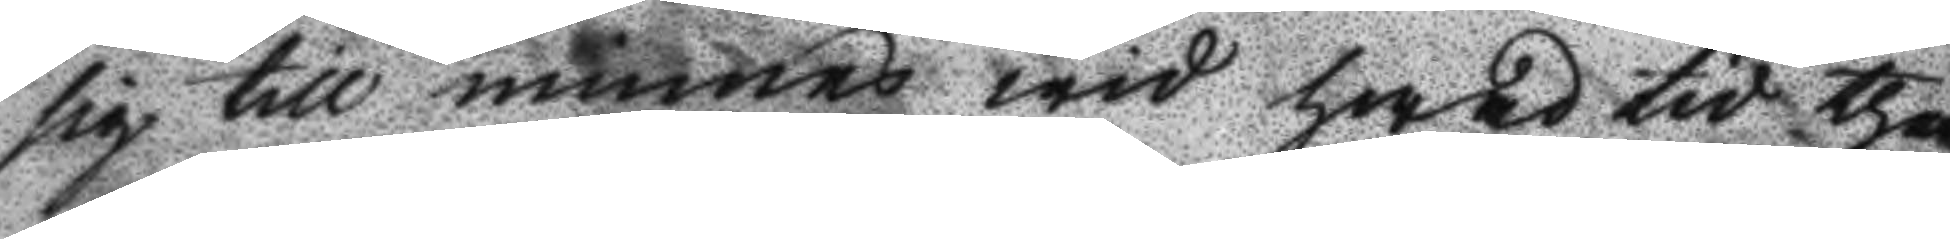sig till minnes wid hwad tid the
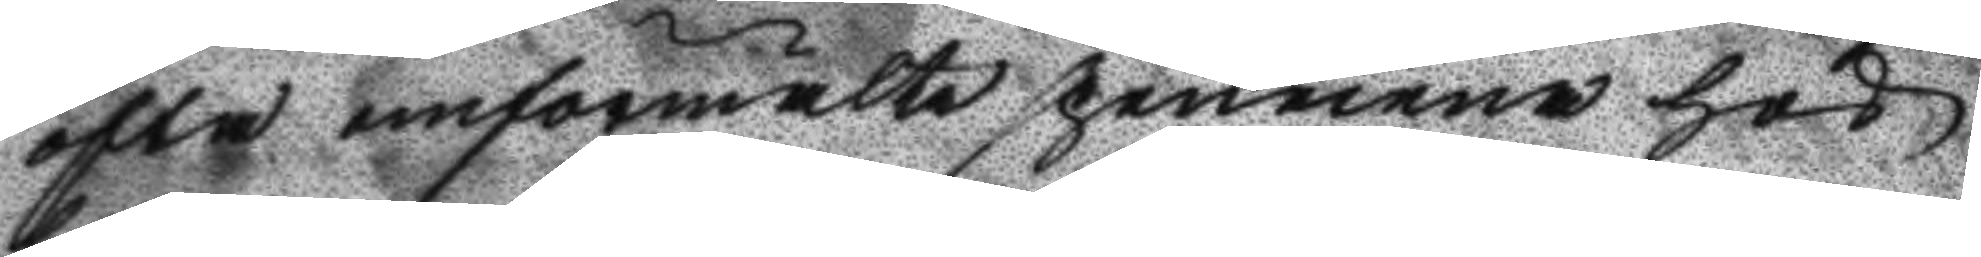ofta omförmälte spennena hos
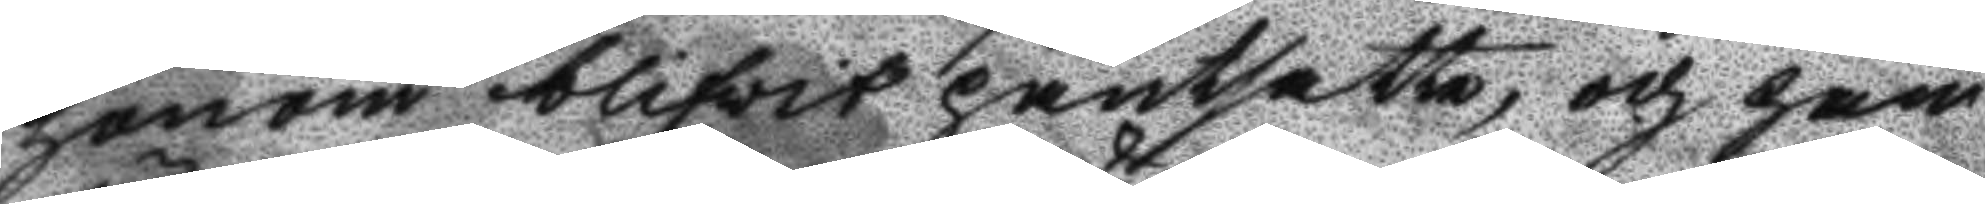honom blifwit pantsatte, och han
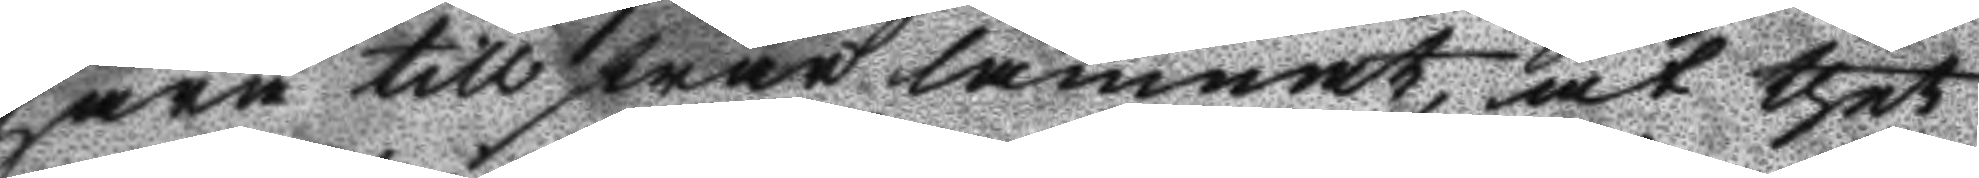härå till swar lämnat, at thet
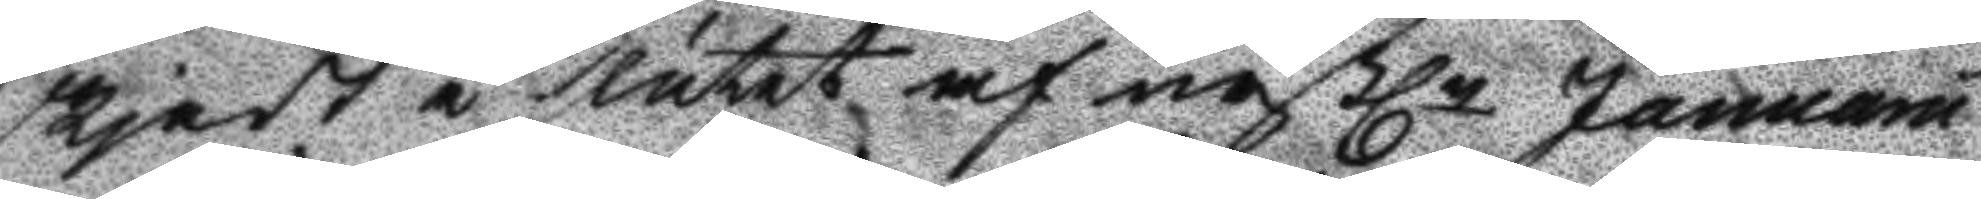skjedt å slutet af nästln Januaru
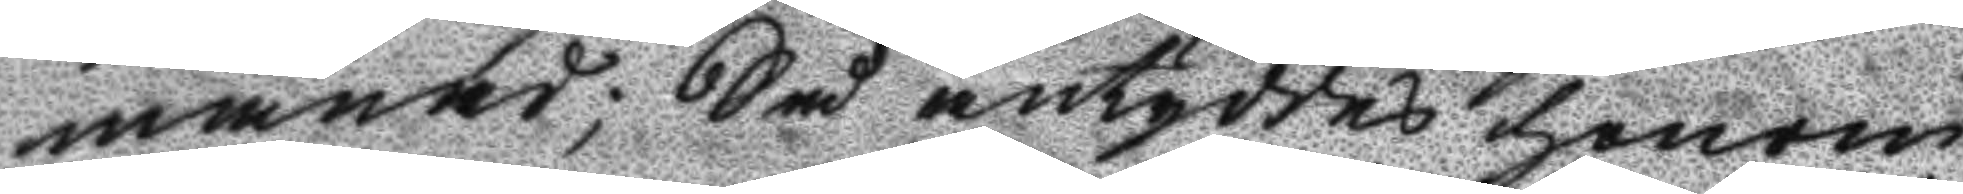månad; Så antyddes honom
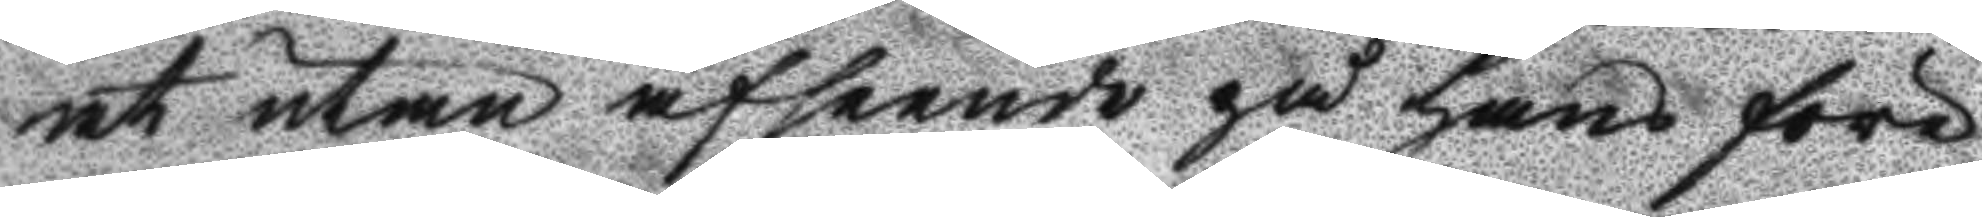at utan afseende på hans före
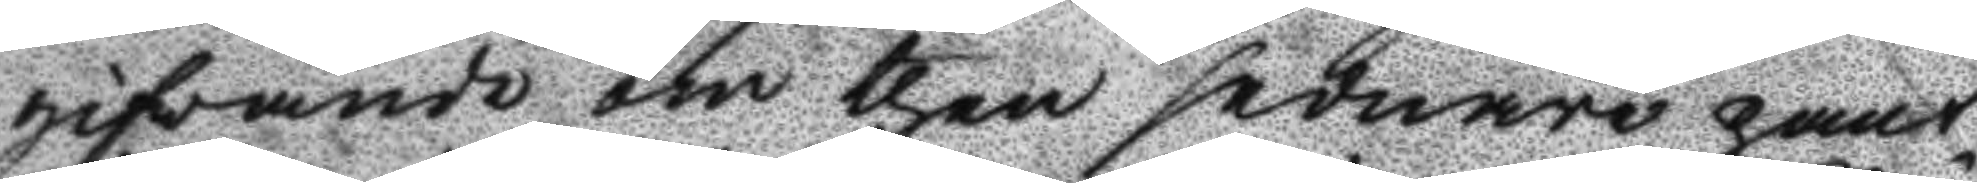gifwande om then sednare pant¬
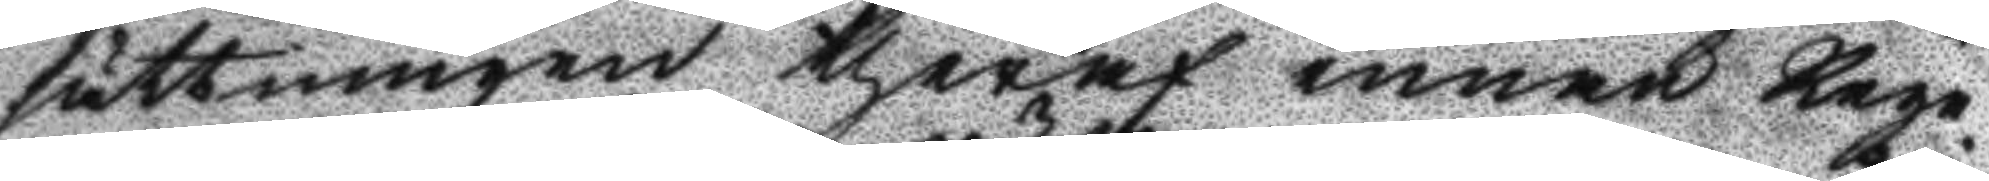sättningen theraf innan Rege¬
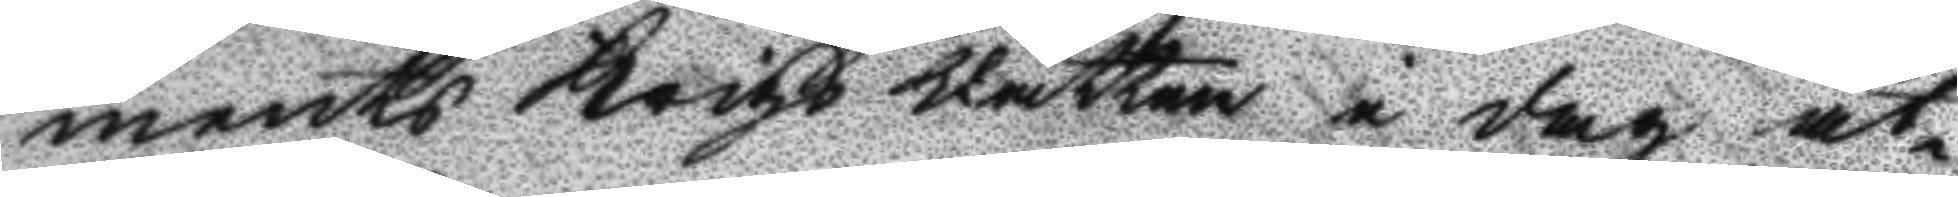ments Krigs Rätten i dag åt¬
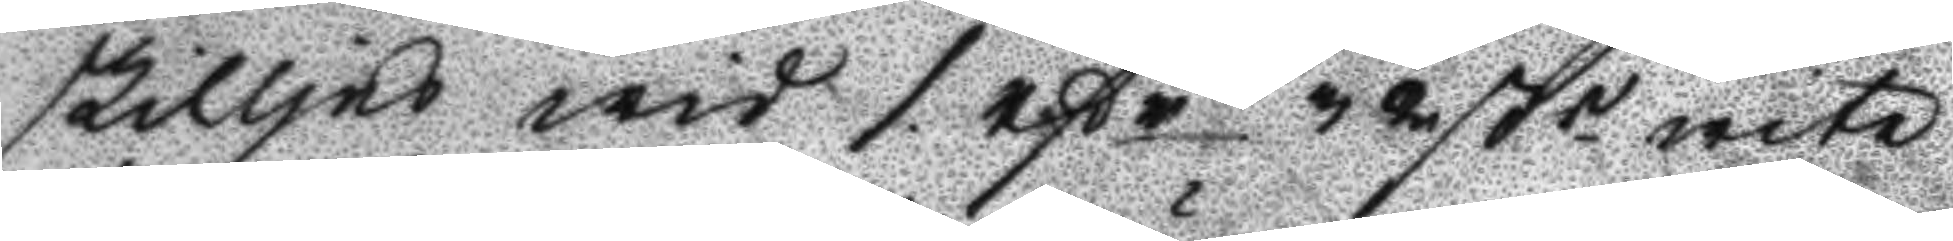skilljes wid 1. rßr 32 ßn wite
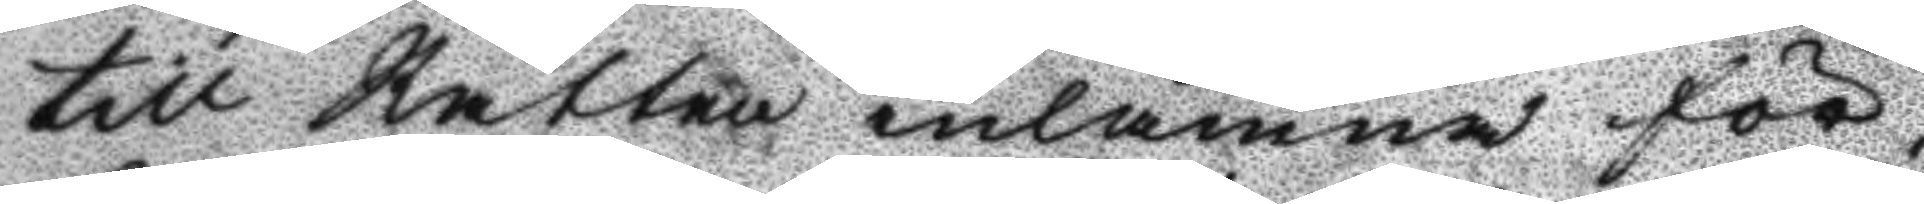till Rätten inlämna för¬
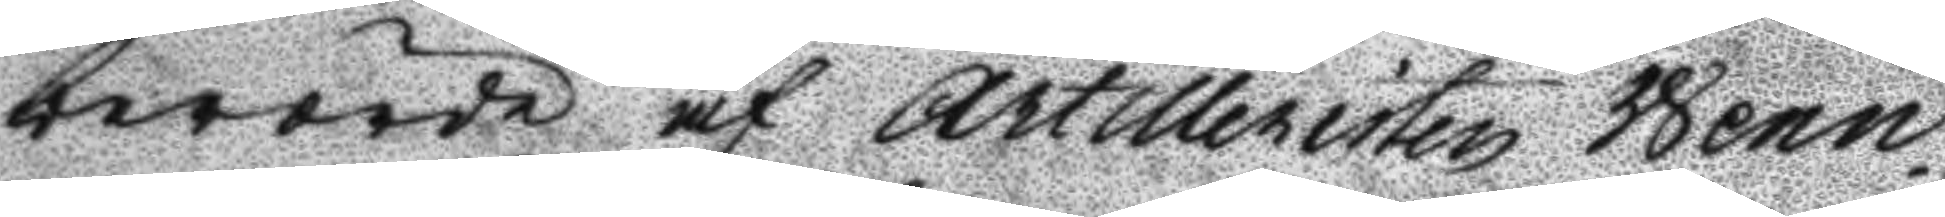berörde af Artilleristen Wenn¬
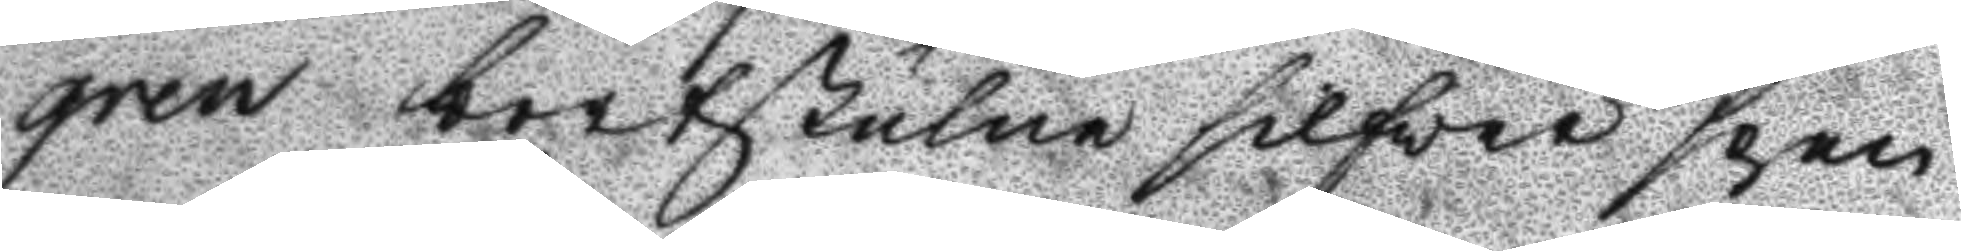gren bortstulne silfwer spen
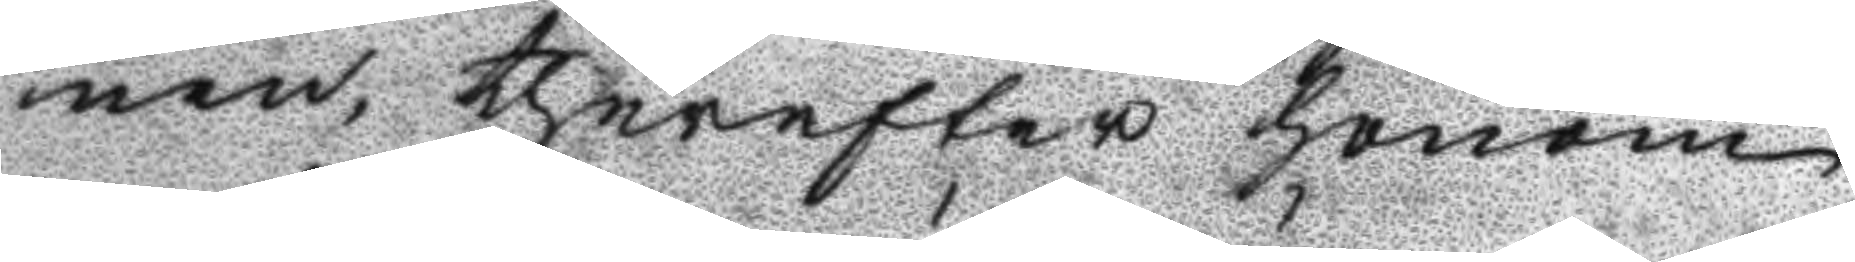nen, therdfter honom
